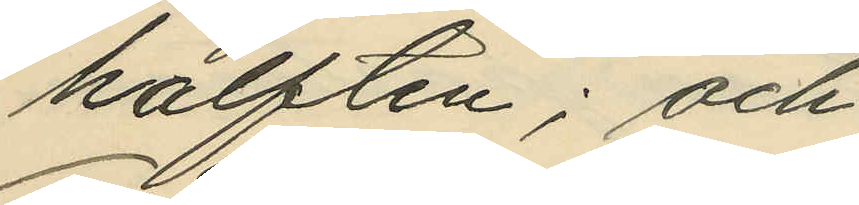hälften; och
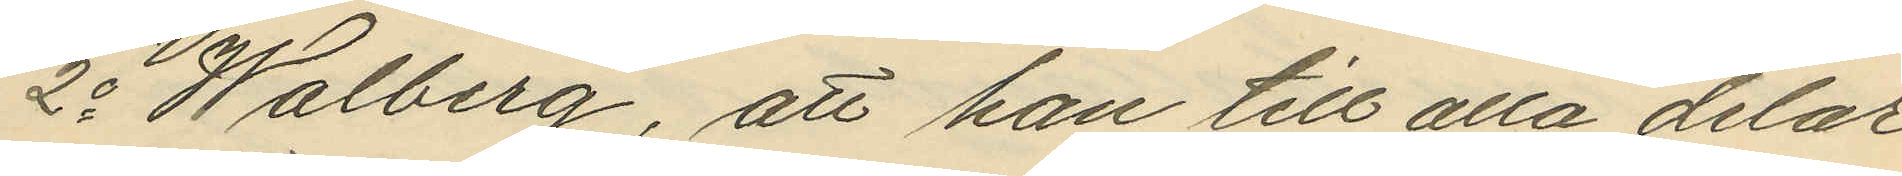2o Walberg, att han till alla delar
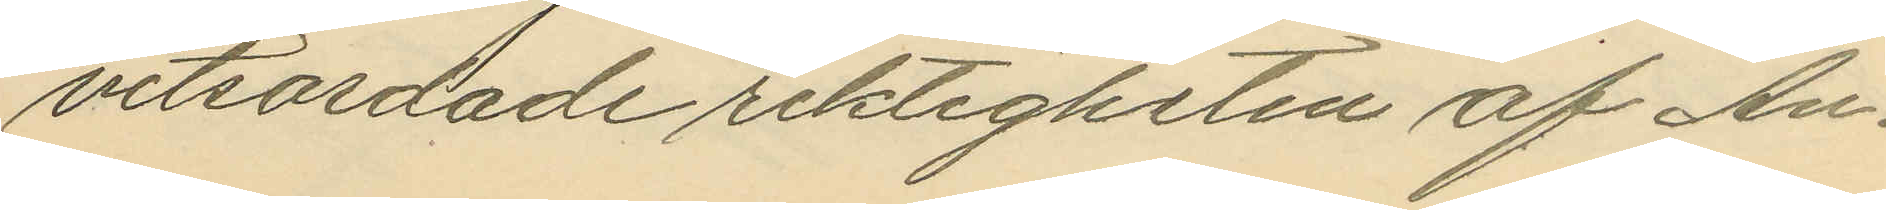vitsordade riktigheten af An¬
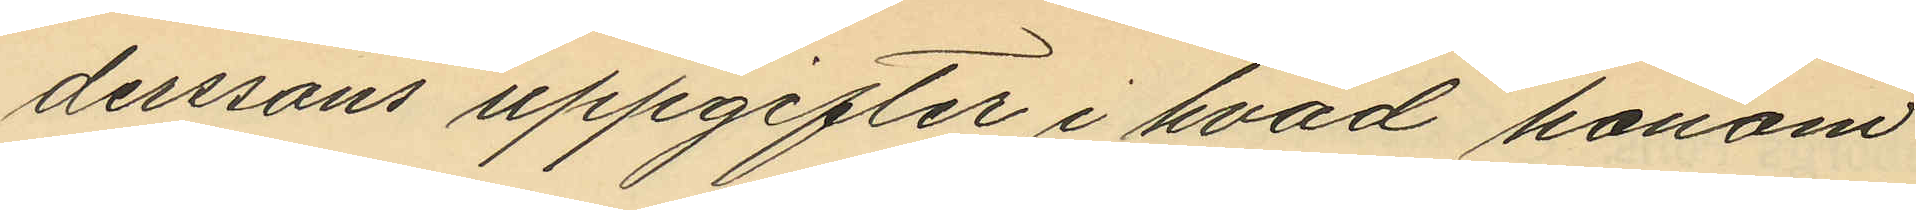derssons uppgifter i hvad honom
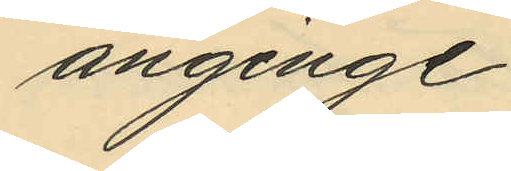anginge.
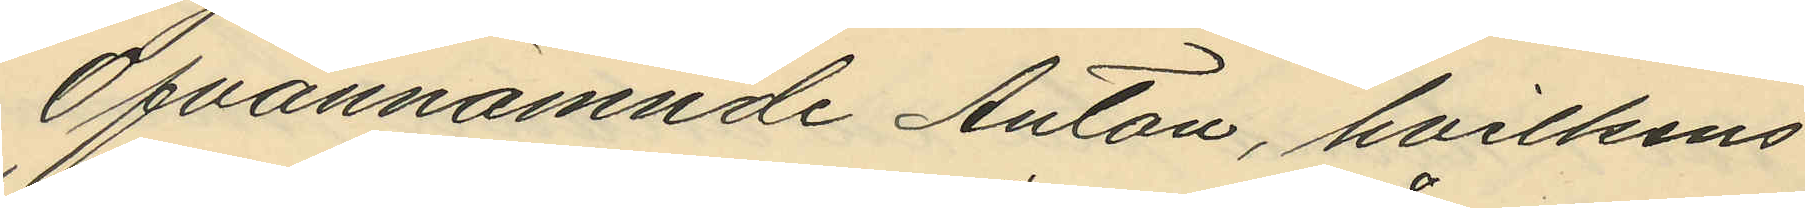Ofvannämnde Anton, hvilkens
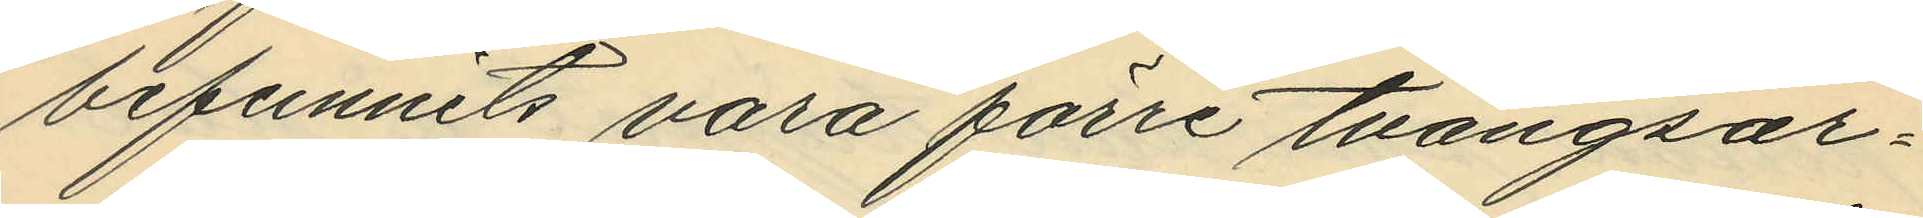befunnits vara förre tvångsar¬
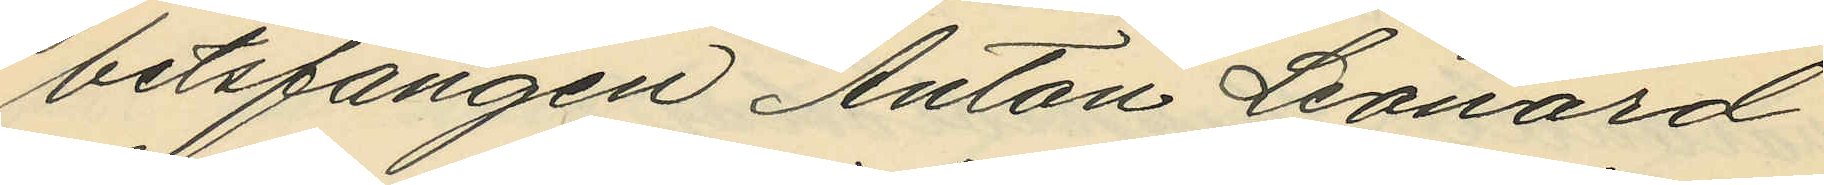betsfången Anton Leonard
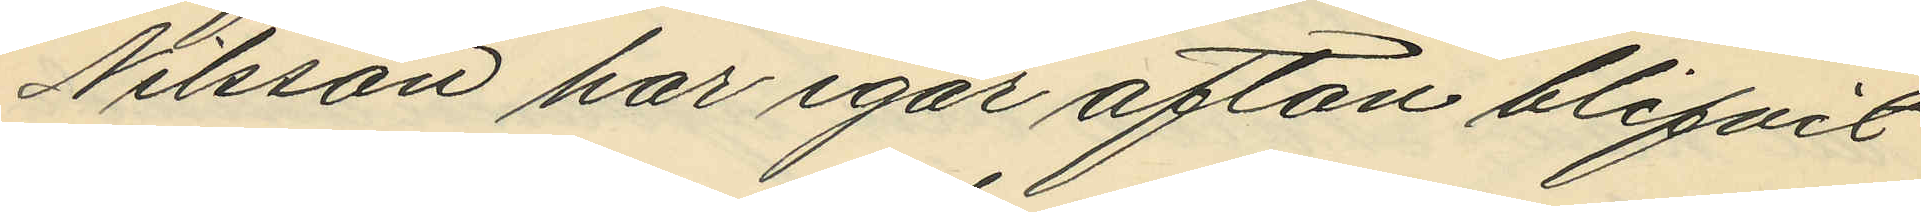Nilsson har igår afton blifvit
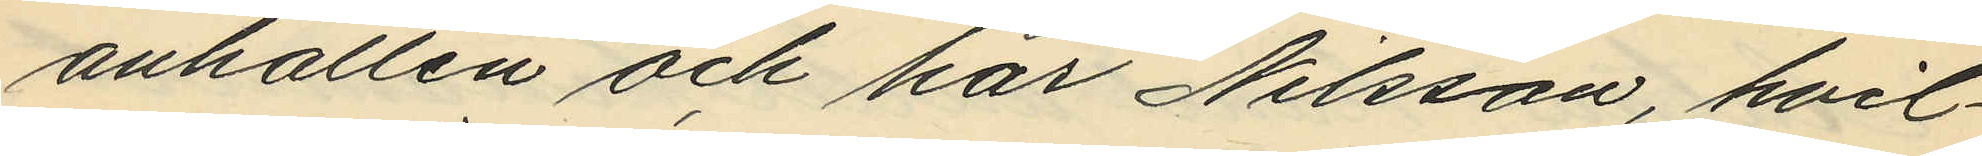anhållen och har Nilsson, hvil¬
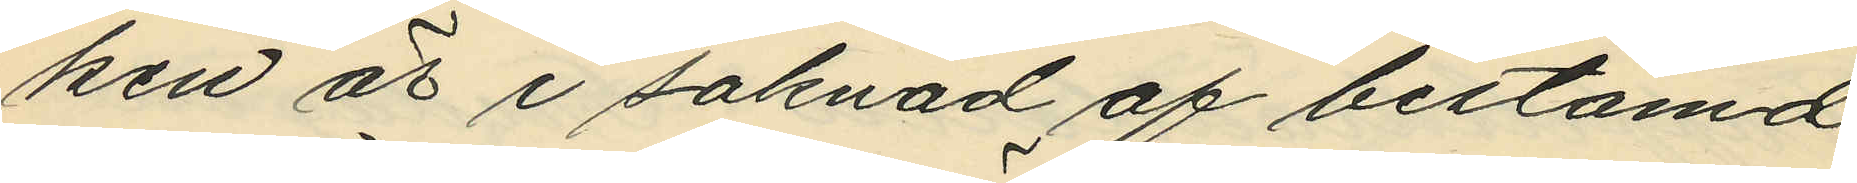ken är i saknad af bestämd
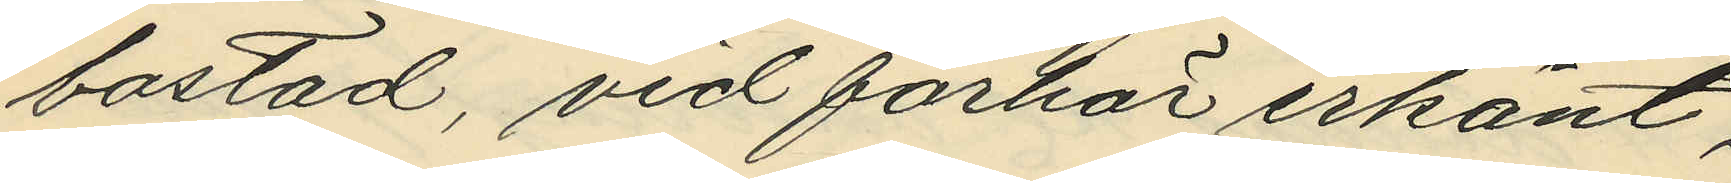bostad, vid förhör erkänt,
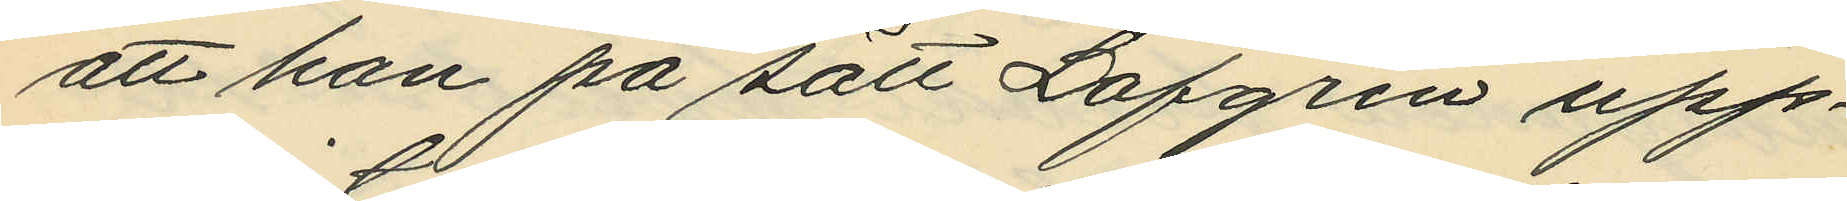att han på sätt Löfgren upp¬
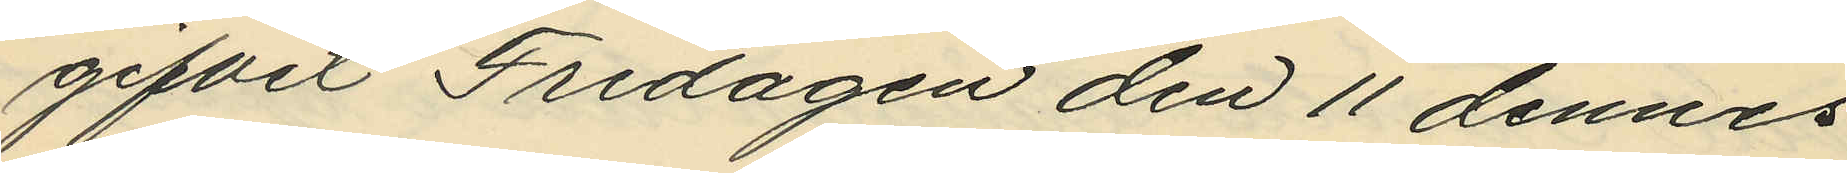gifvit Fredagen den 11 dennes
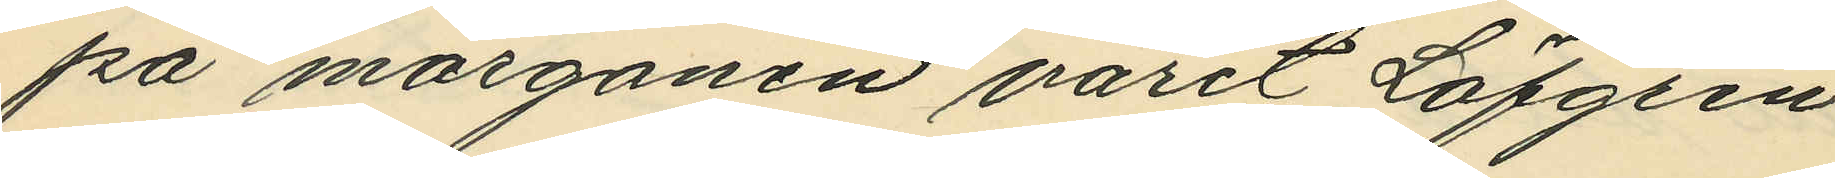på morgonen varit Löfgren
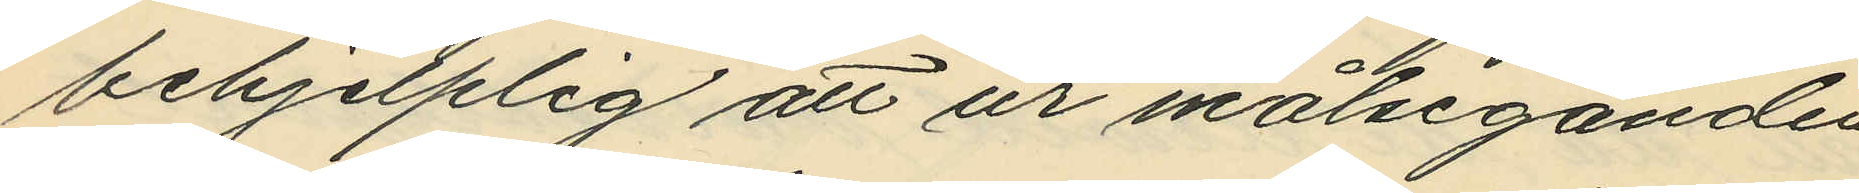behjelplig att ur målseganden
